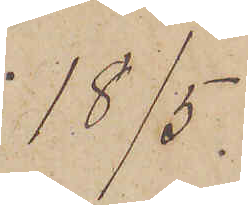18/5.
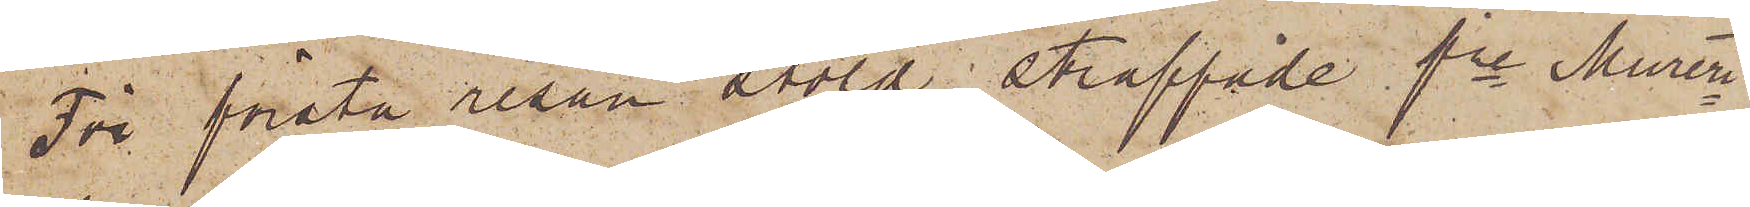För första resan stöld straffade fre Mureri¬
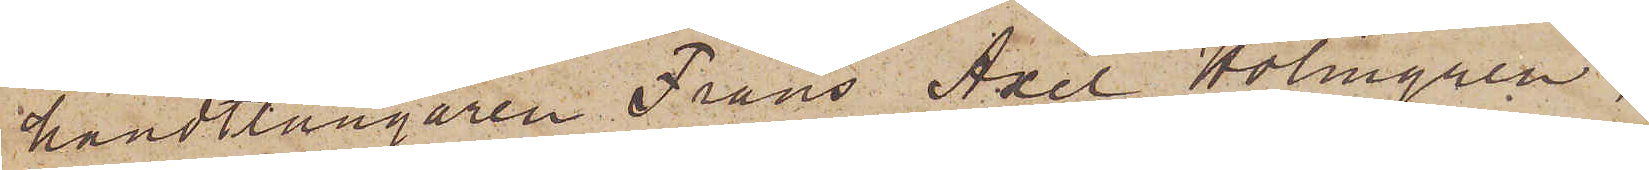handtlangaren Frans Axel Holmgren,
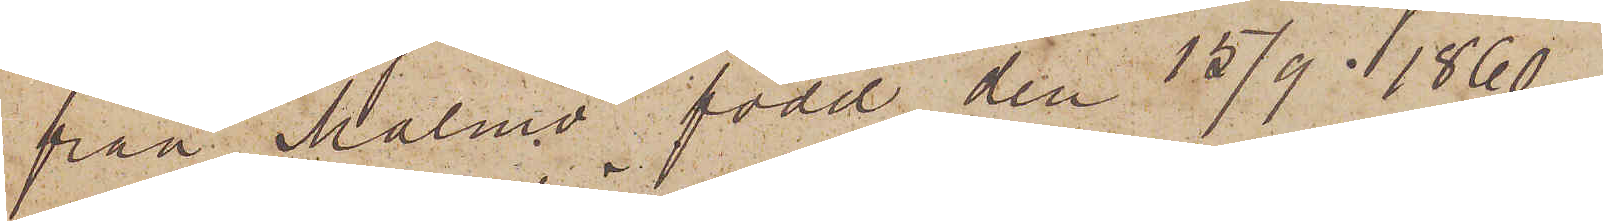från Malmö, född den 15/9 1860
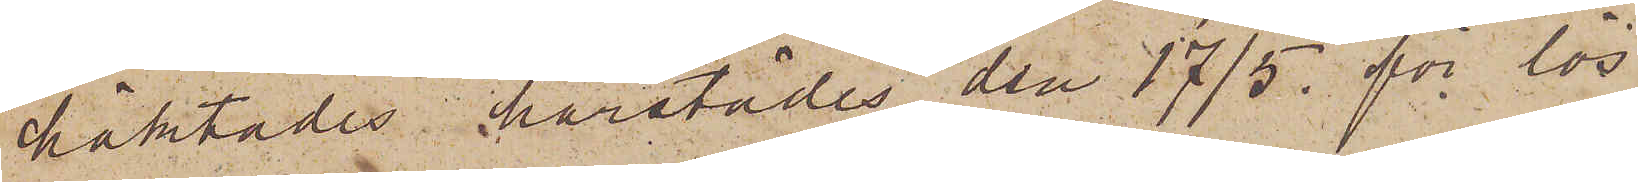häktades härstädes den 17/5 för lös¬
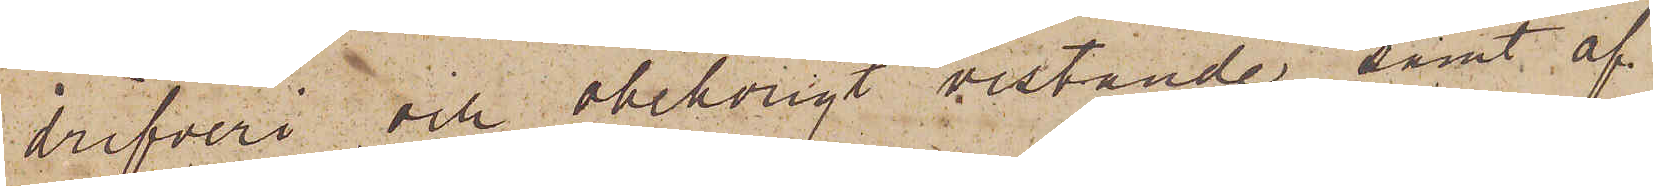drifveri och obehörigt vistande samt af¬
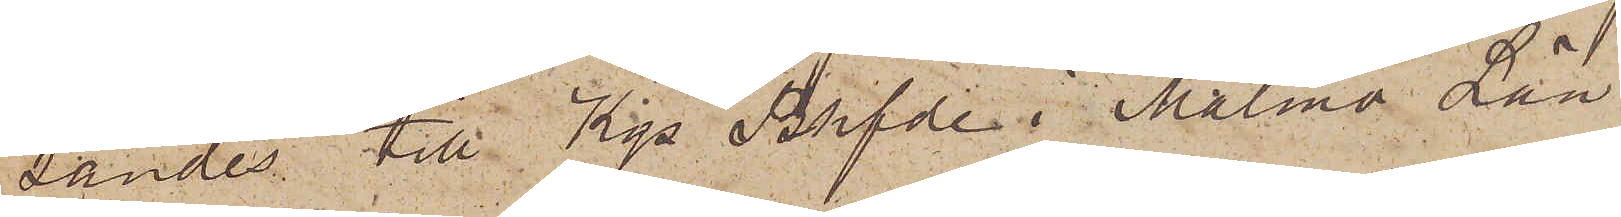sändes till Kgs Bhfde i Malmö Län
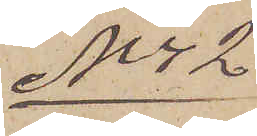No 42
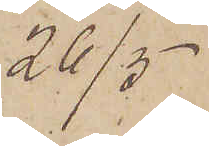26/5
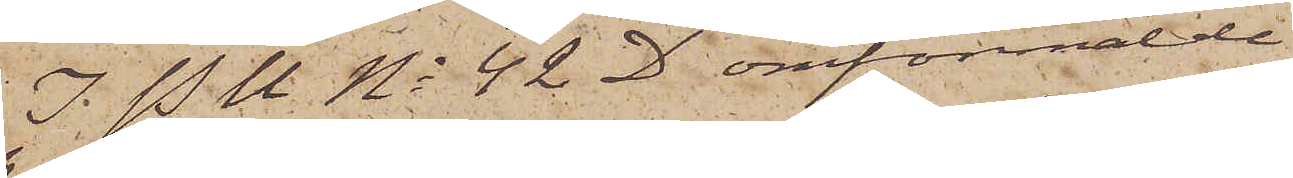I. P U No 42 D omförmälde
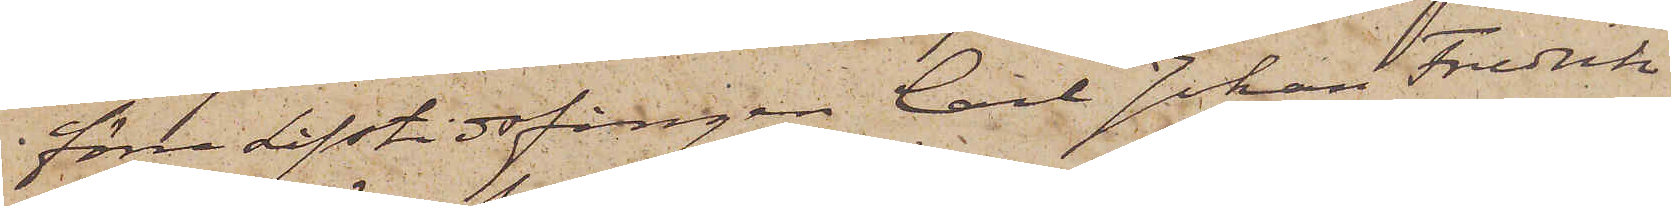förre Lifstidsfången Carl Johan Fredrik
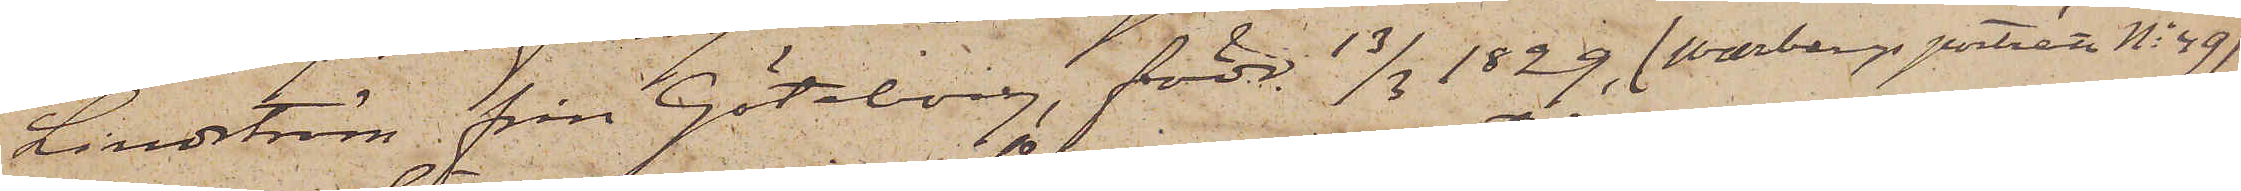Lindström från Göteborg, född 13/3 1829, (Warbergs porträtt No 49)
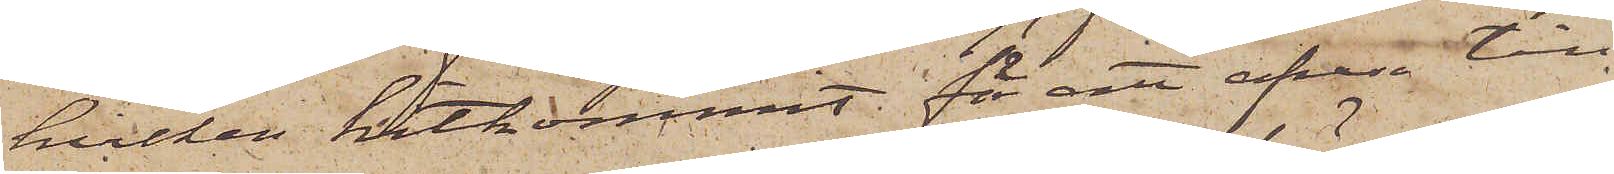hvilken hitkommit för att afresa till
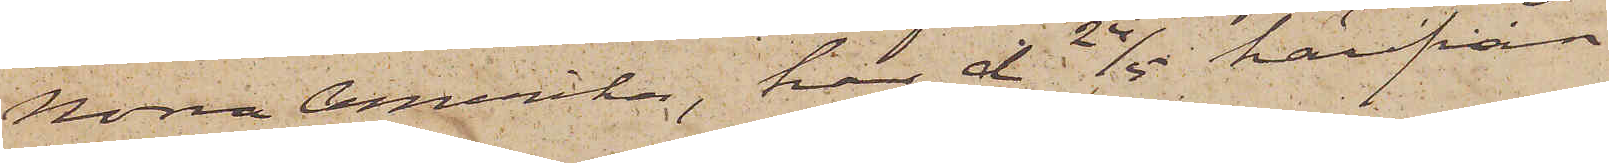Norra Amerika, har d 24/5 härifrån
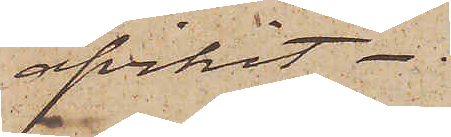afvikit.
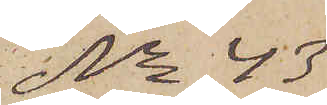No 43
